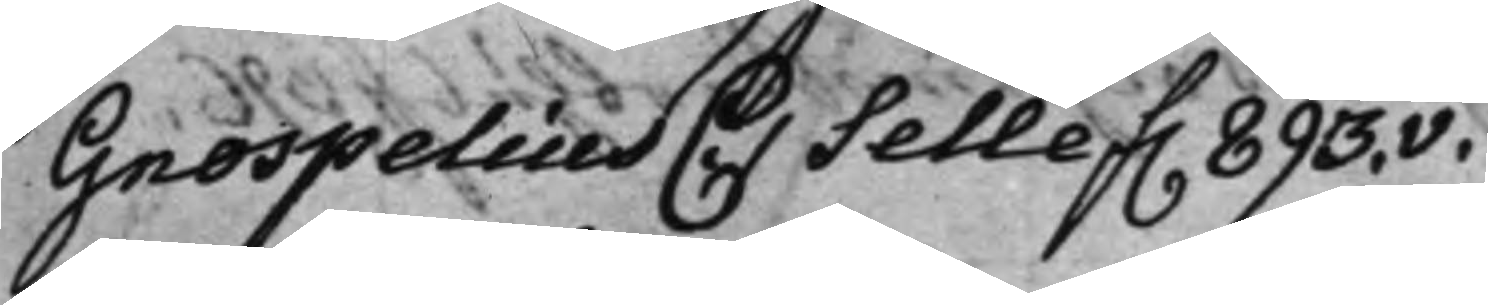Gnospelius C: Selle f. 893.v.
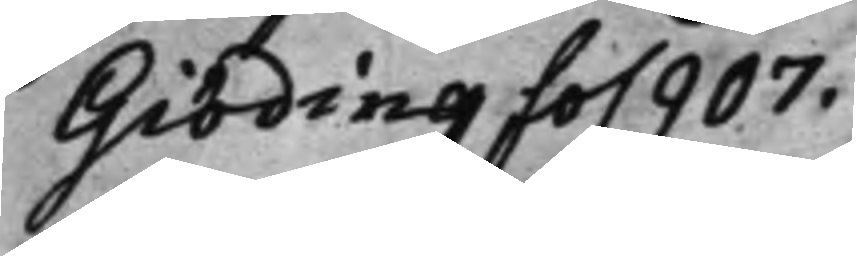Giöding fo. 907.
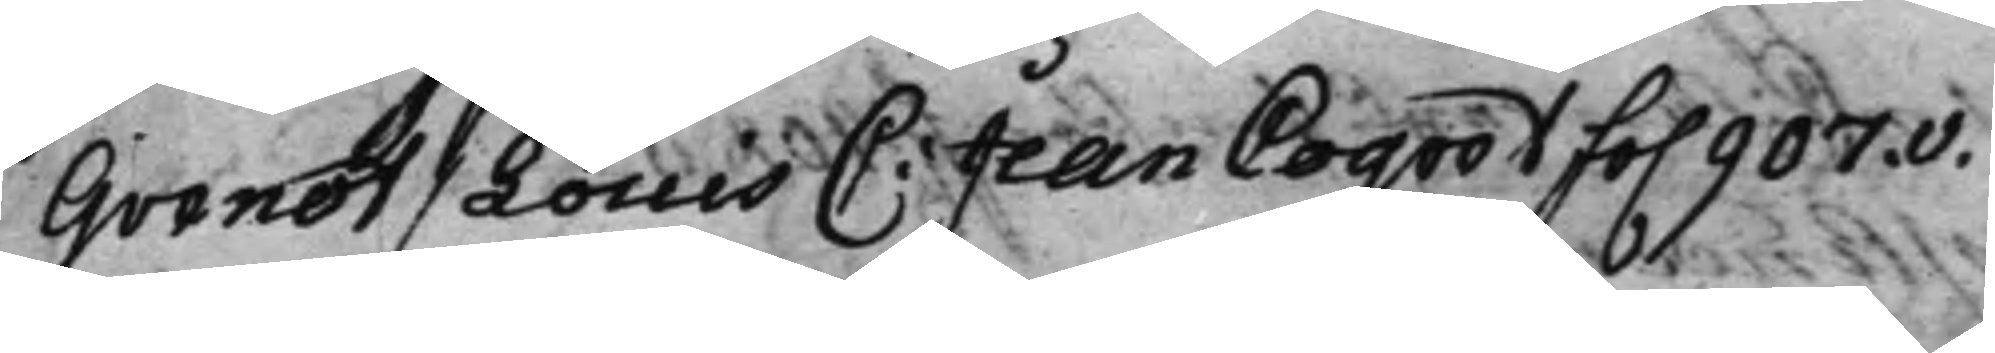Guenot / Louis C: Jean Coqvot fo. 907.v.
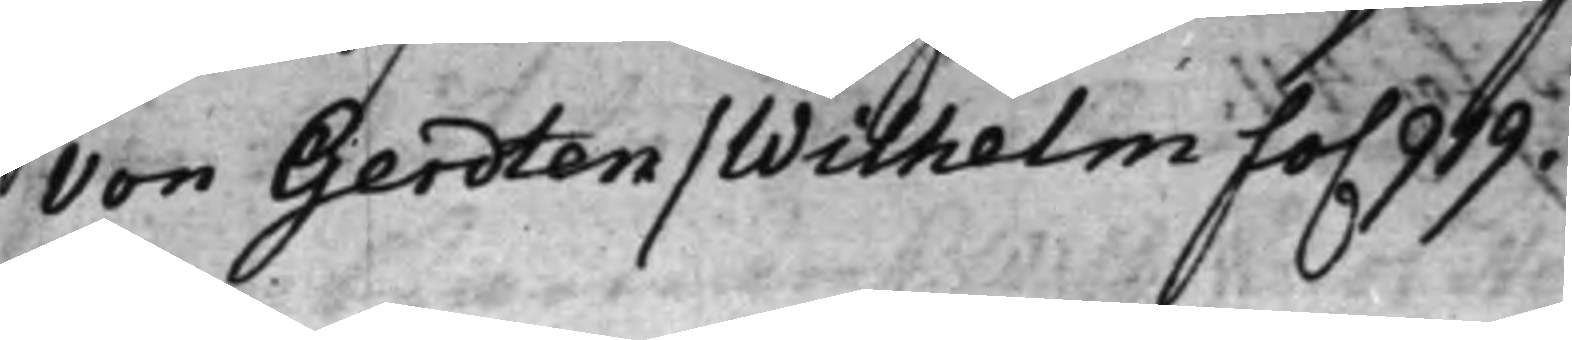von Gerdten / Wilhelm fo. 919.
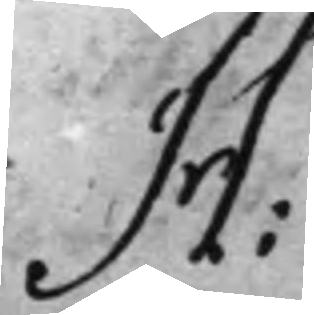H:
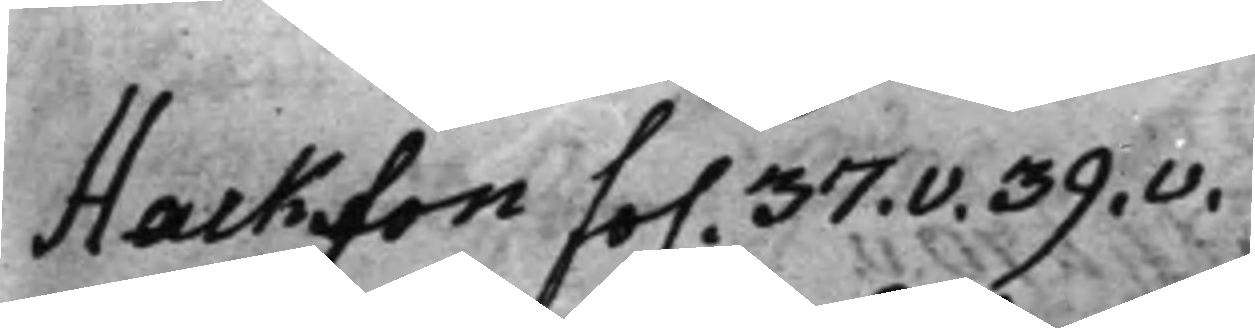Hackson fo. 37.v. 39.v.
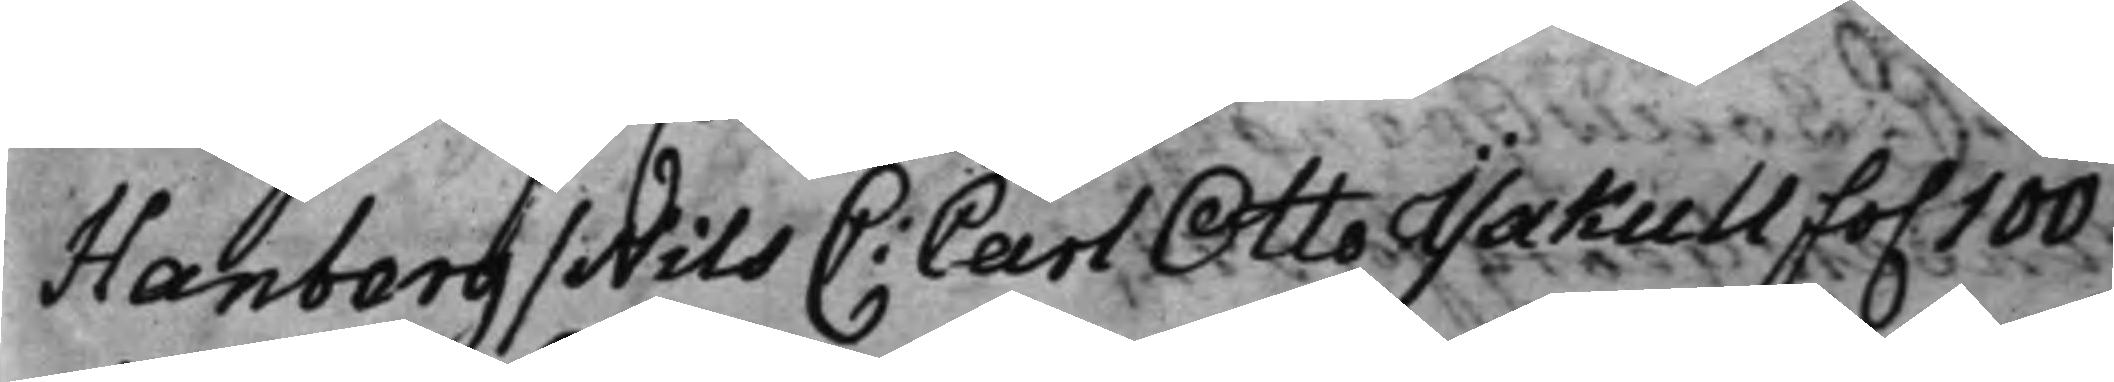Hanberg / Nils C: Carl Otto Yxkull fo. 100
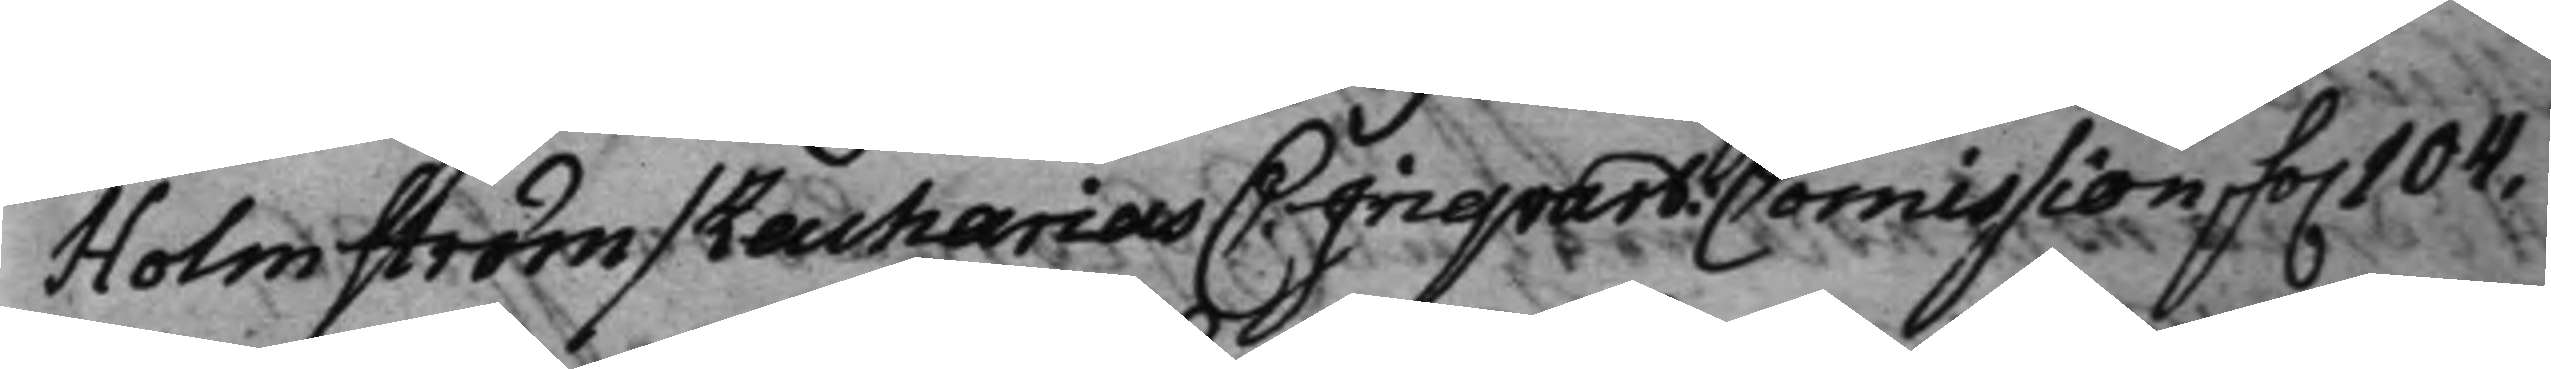Holmström / Zacharias C: Inqvart: Commission, fo. 104.
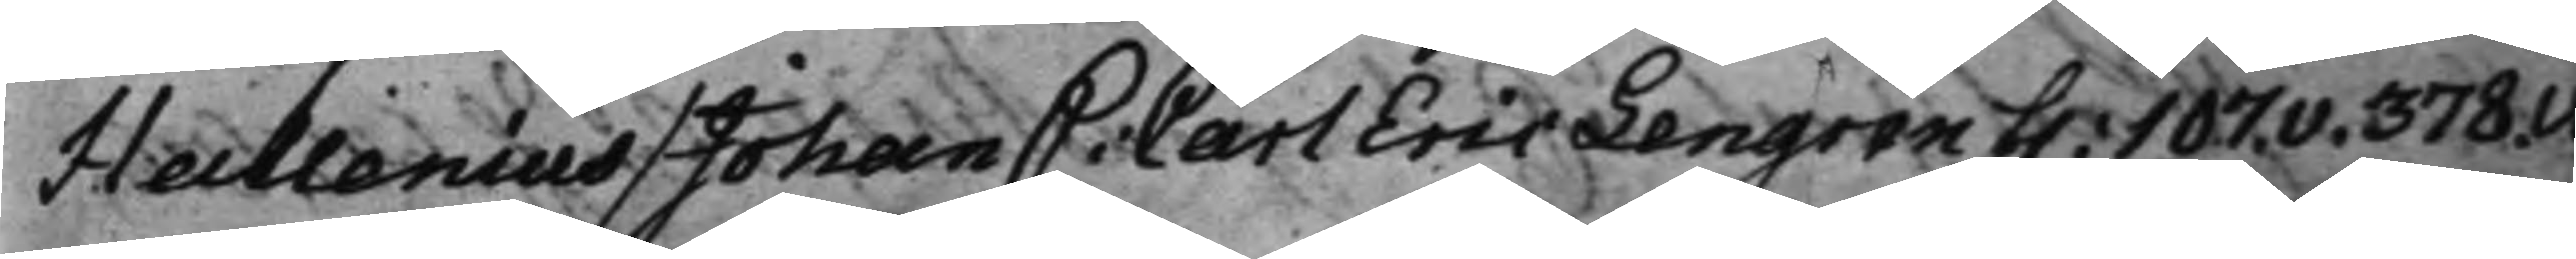Heillenius / Johan C: Carl Eric Lengren f. 107.v. 378.v.
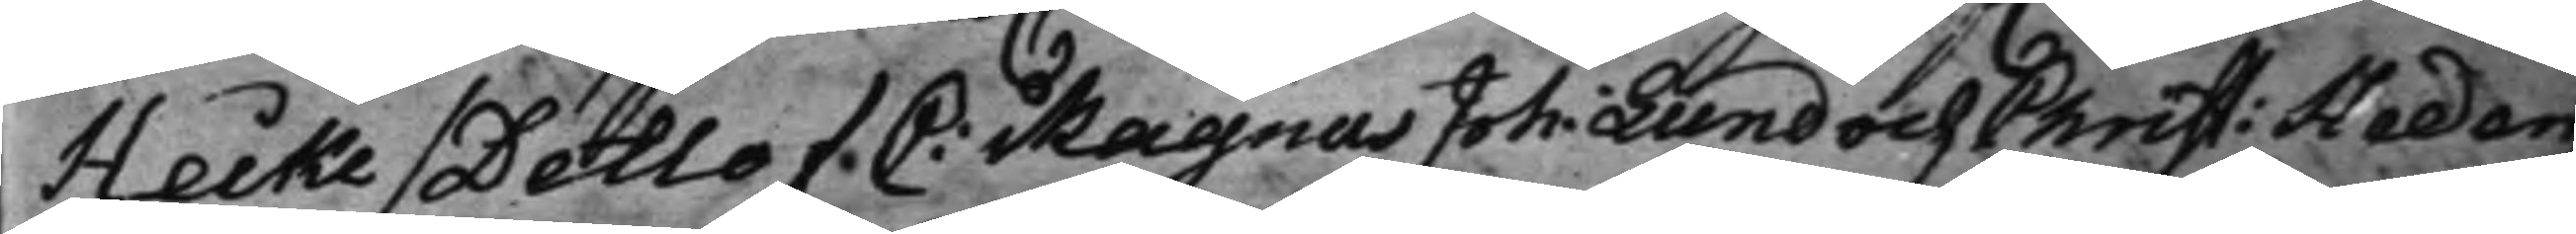Heike / Detlof C: Magnus Joh: Lund och Christ: Heden¬
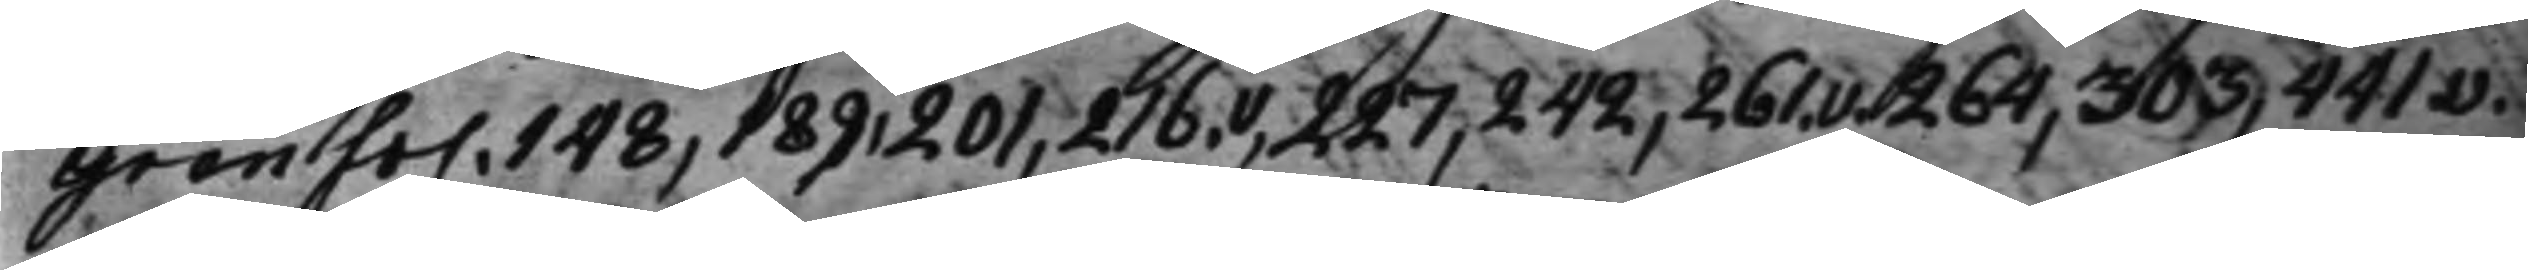gren fo. 148, 189, 201, 216.v, 227, 242, 261.v. 264, 303, 441.v.
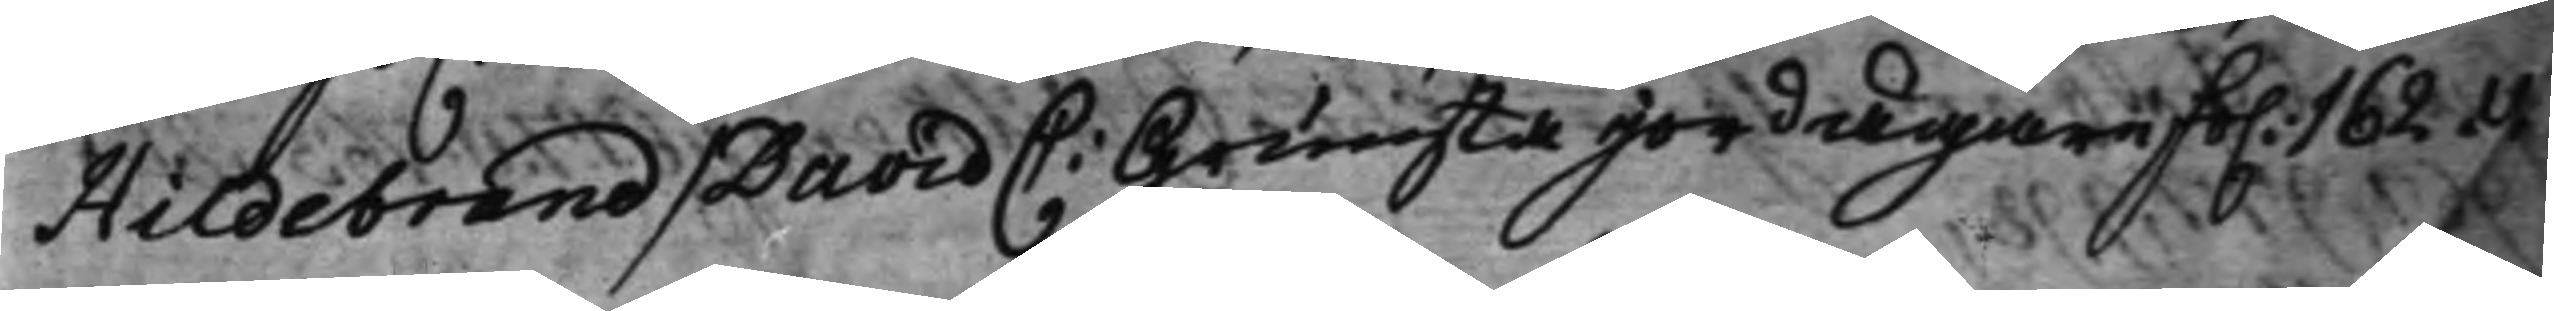Hildebrand / David C: Grimsta jordägare fo. 162.v.
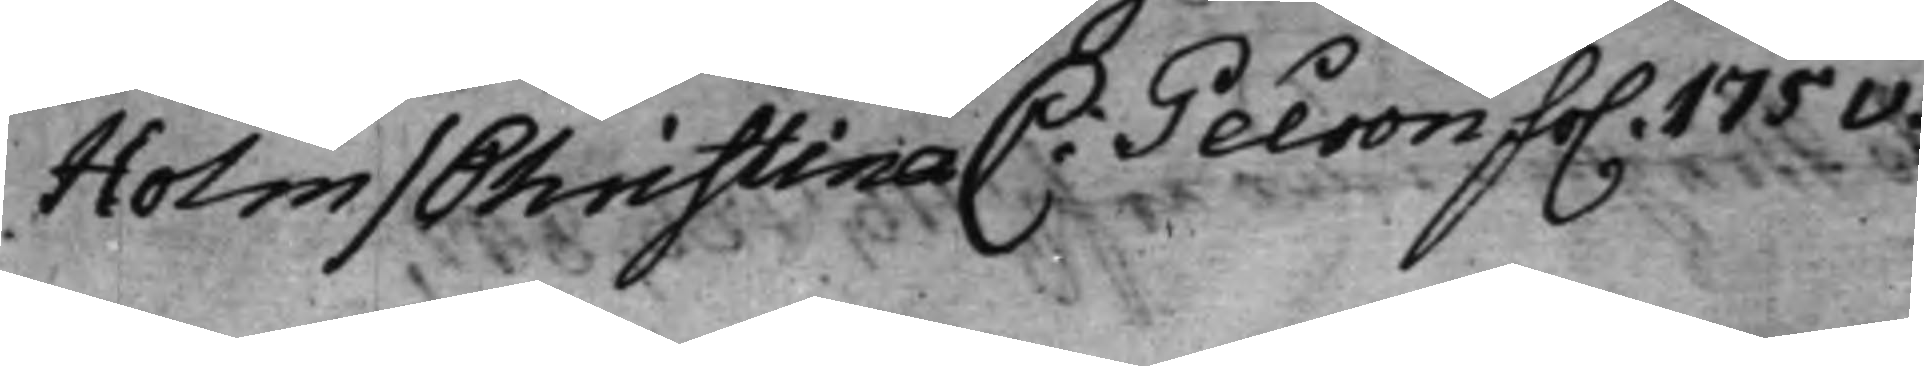Holm / Christina C: Peiron fo. 175v.
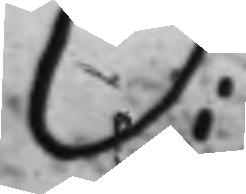O:
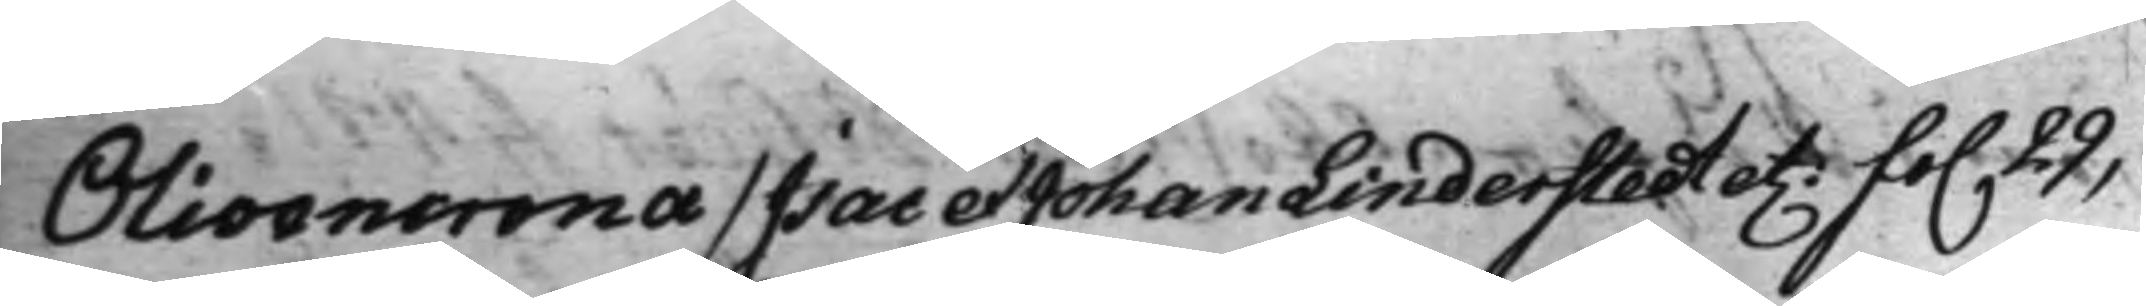Olivencrona / Isac et Johan Linderstedt et. fo. 29,
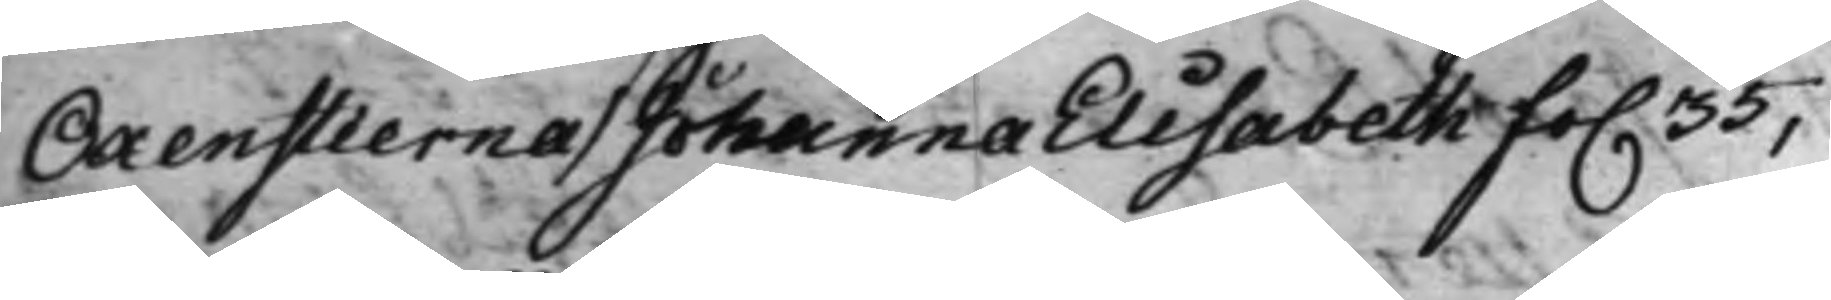Oxenstierna / Johanna Elisabeth fo. 35,
